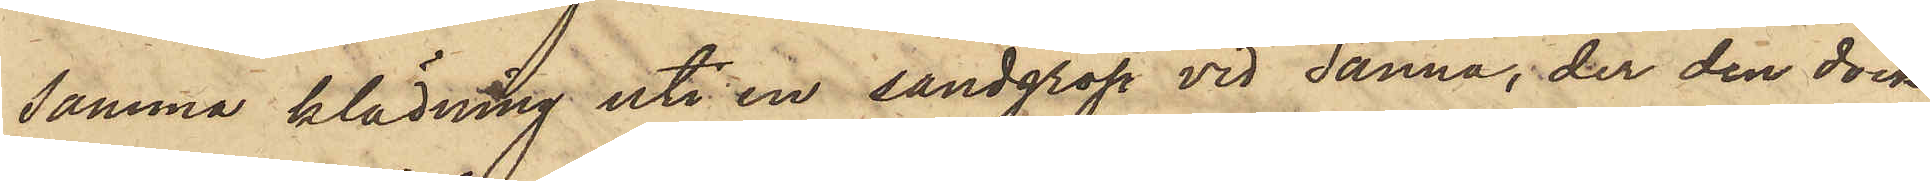samma klädning uti en sandgrop vid Sanna, der den dock
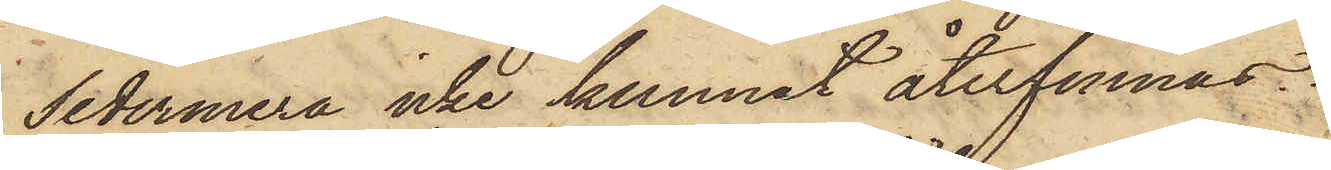sedermera icke kunnat återfinnas.
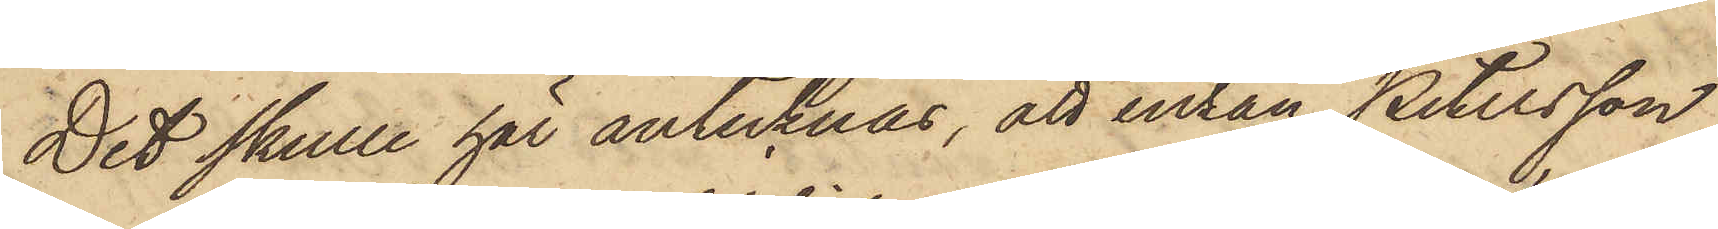Det skulle här antecknas, att enkan Petersson
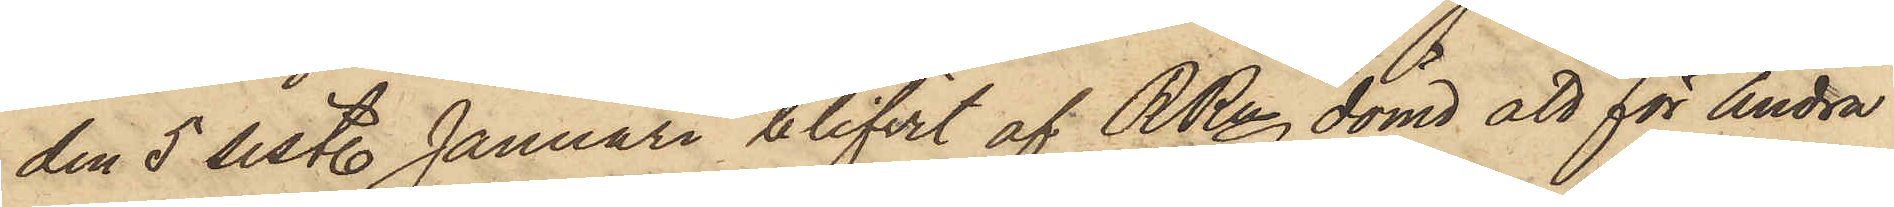den 5 sist. Januari blifvit af RRn dömd att för Andra
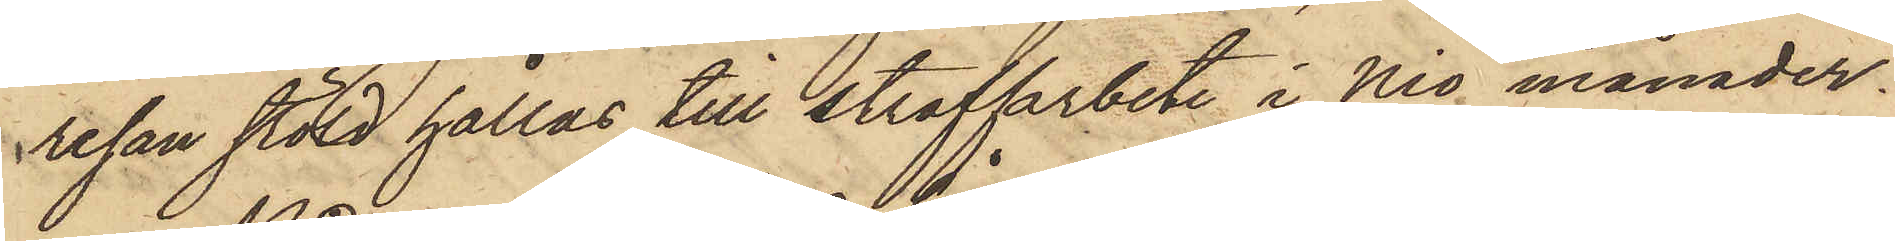resan stöld hållas till straffarbete i Nio månader.
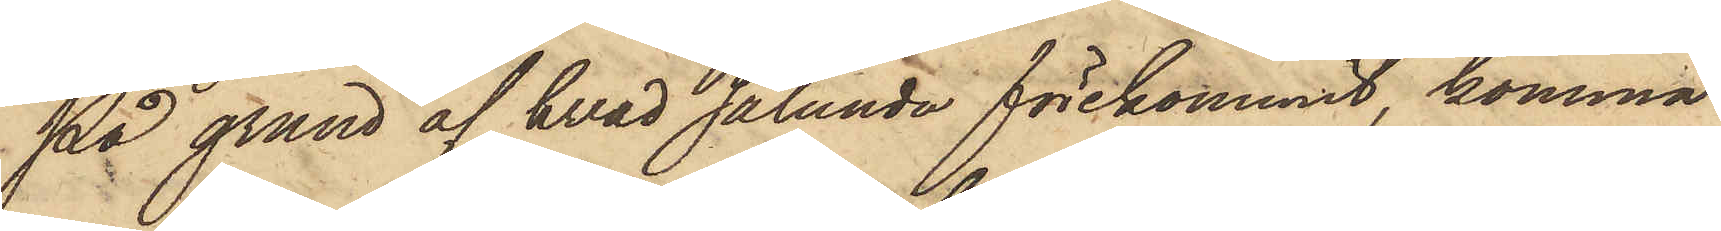På grund af hvad sålunda förekommit, komma
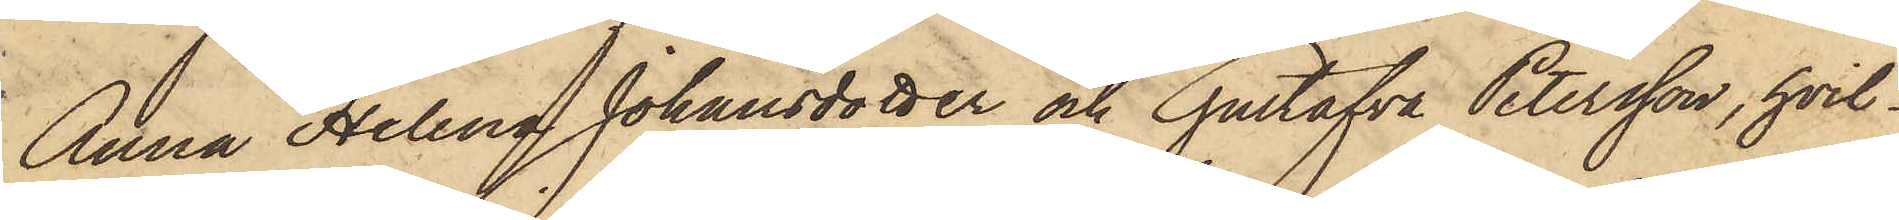Anna Helena Johansdotter och Gustafva Petersson, hvil¬
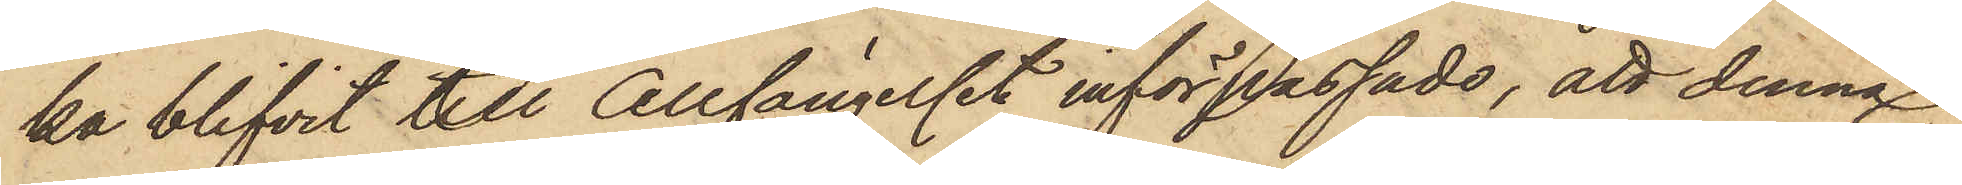ka blifvit till Cellfängelset införpassade, att denna
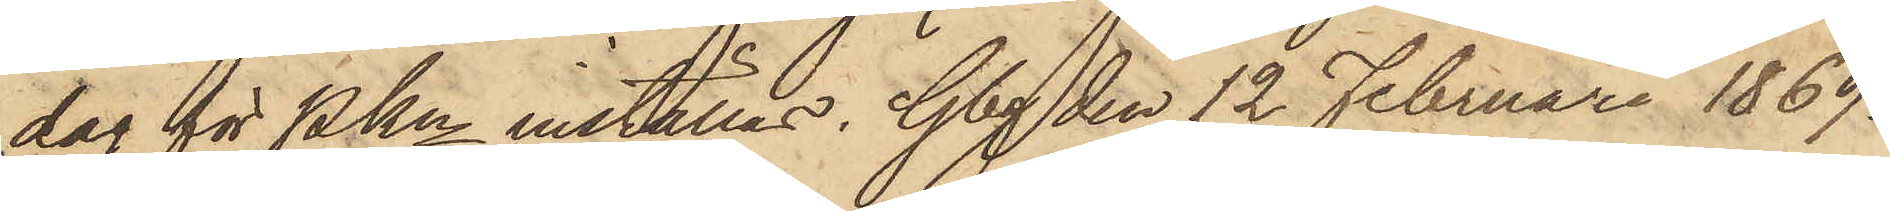dag för PKn inställas. Gbg den 12 Februari 1869.
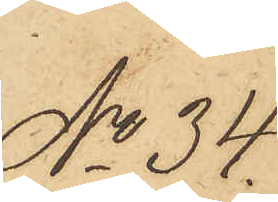No 34.
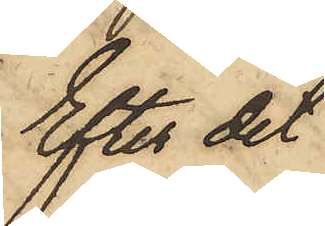Efter det
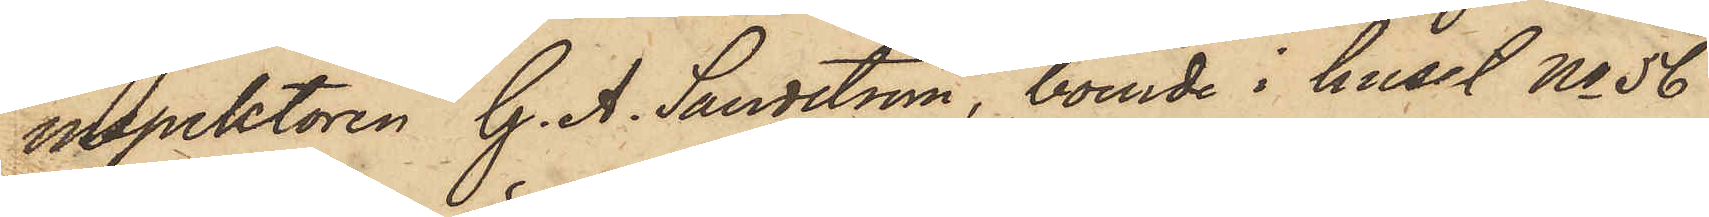inspektoren G. A. Sandström, boende i huset No 56
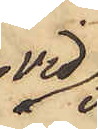vid
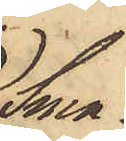Sma¬
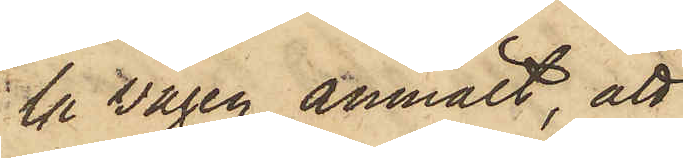la vägen anmält, att
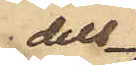dels
